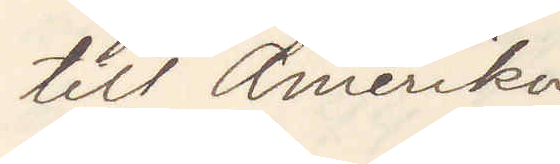till Amerika
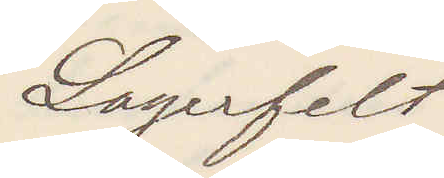Lagerfelt
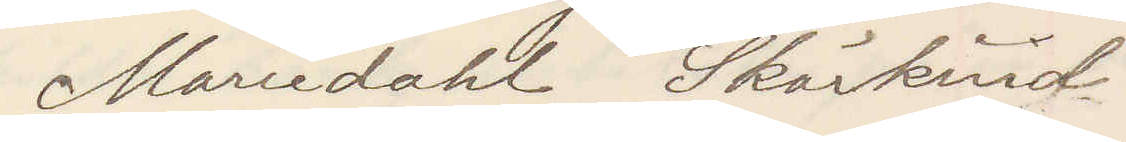Mariedal Skärkind
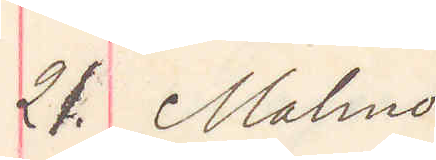21. Malmö
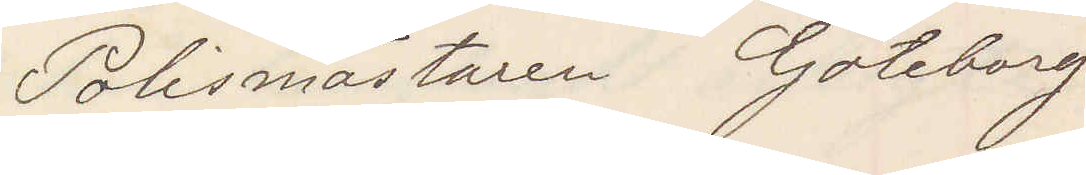Polismästaren Göteborg
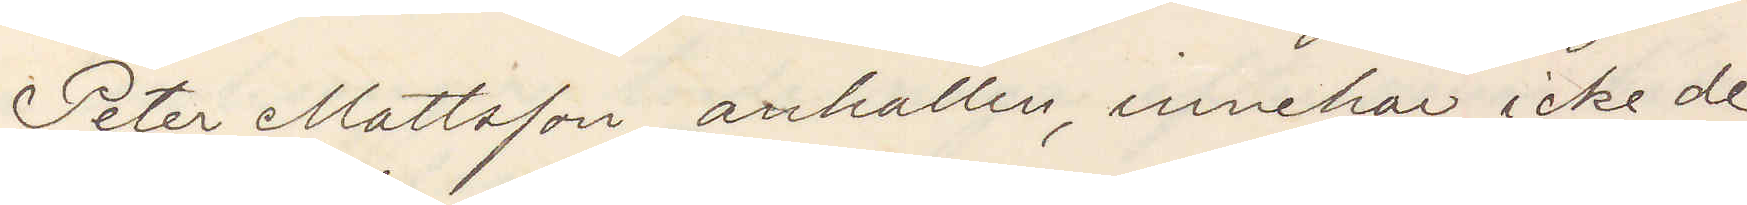Peter Mattsson anhållen, innehar icke de
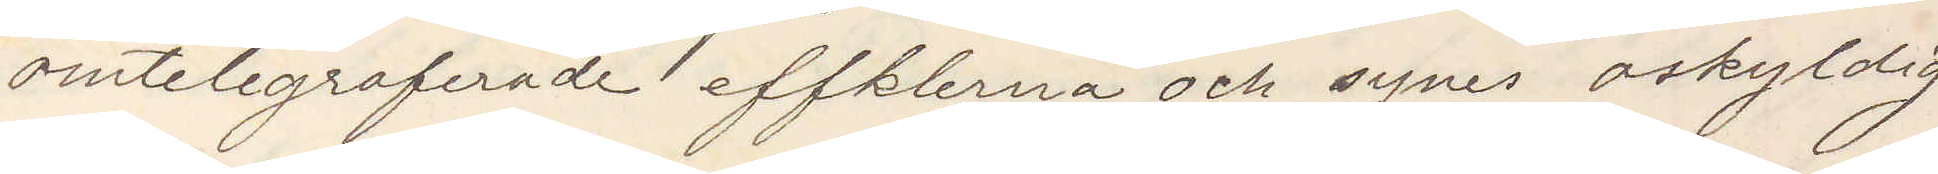omtelegraferade effekterna och synes oskyldig
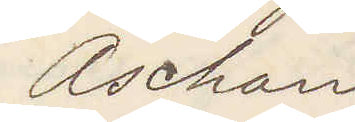Aschan
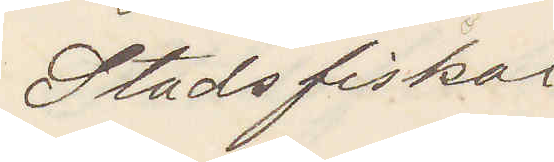Stadsfiskal
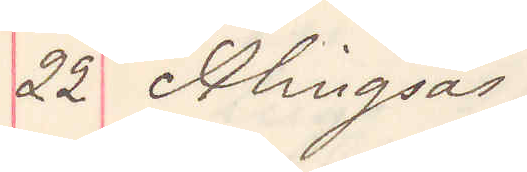22 Alingsås
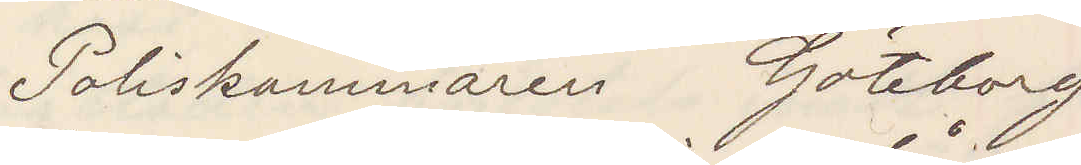Poliskammaren Göteborg
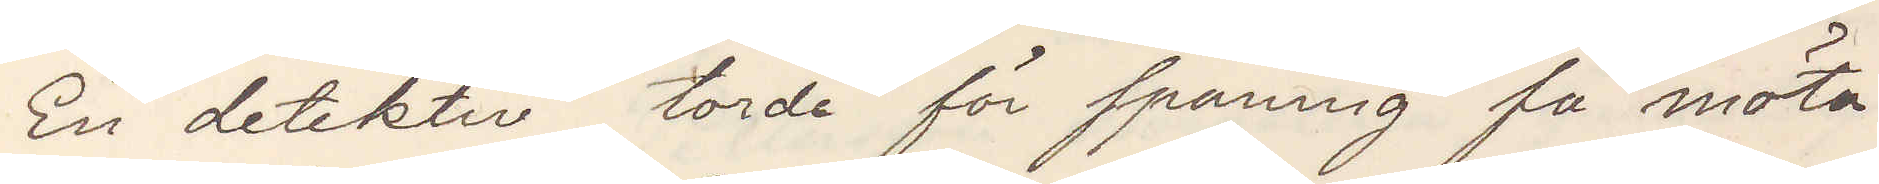En detektiv torde på spaning få möta
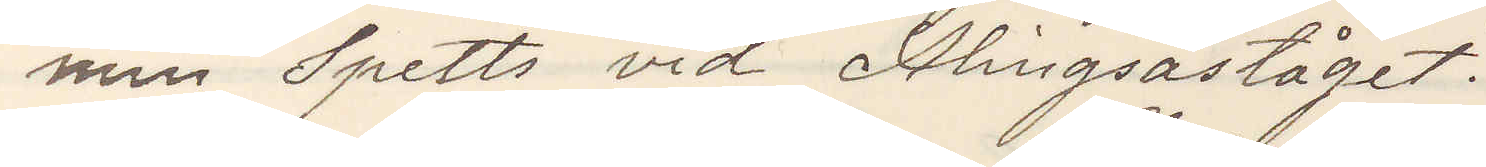min Spetts vid Alingsåståget
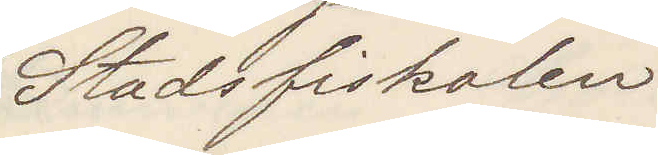Stadsfiskalen
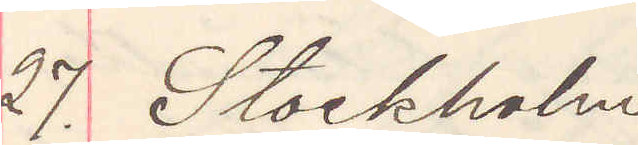27. Stockholm
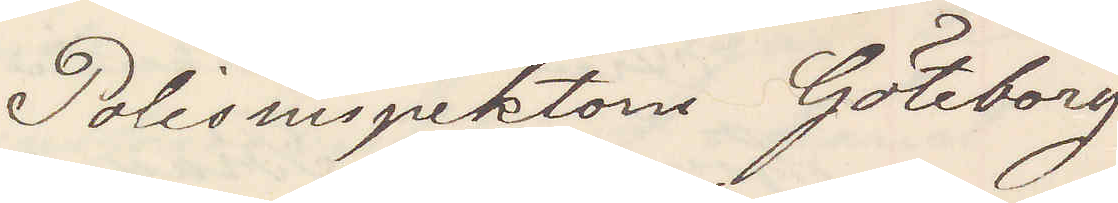Polisinspektorn Göteborg
